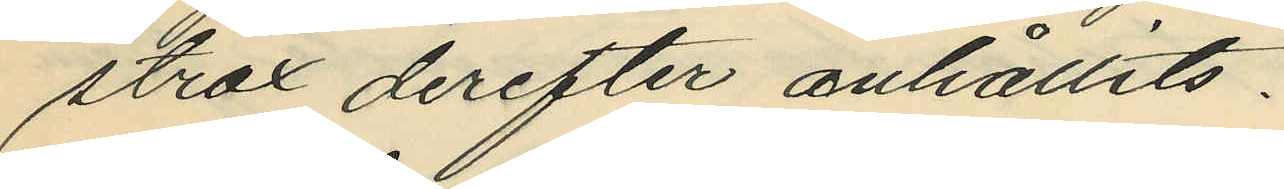strax derefter anhållits.
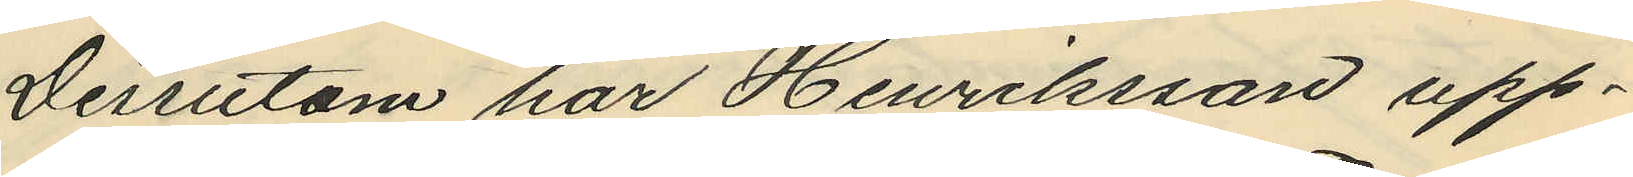Dessutom har Henriksson upp¬
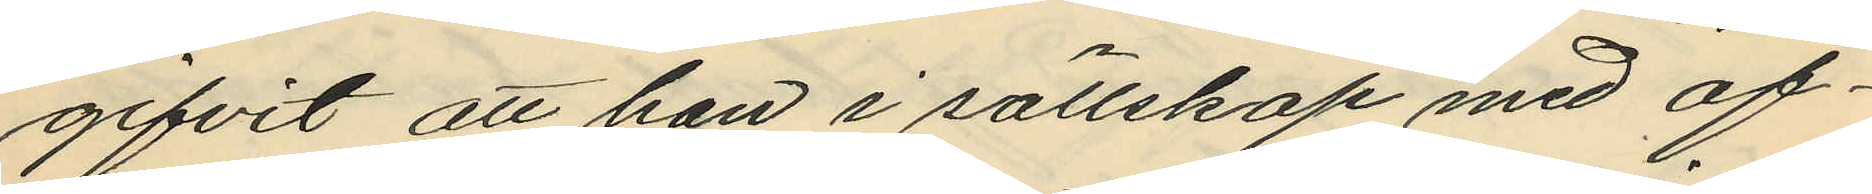gifvit att han i sällskap med of¬
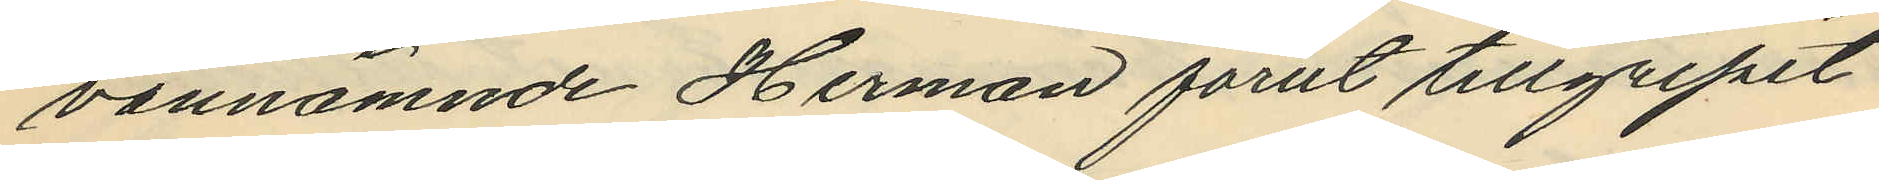vannämnde Herman förut tillgripit
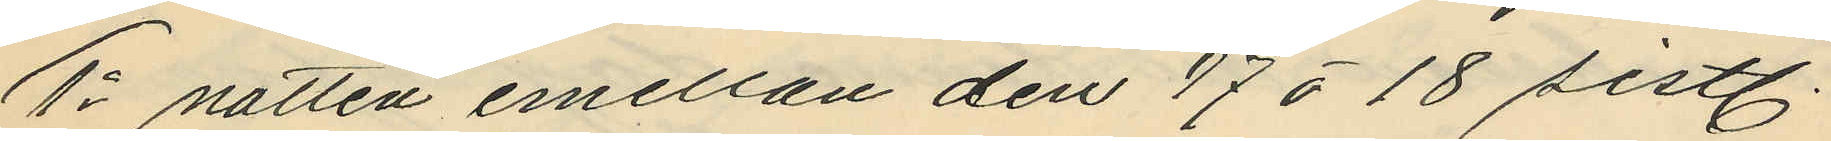1o natten emellan den 17 à 18 sistl.
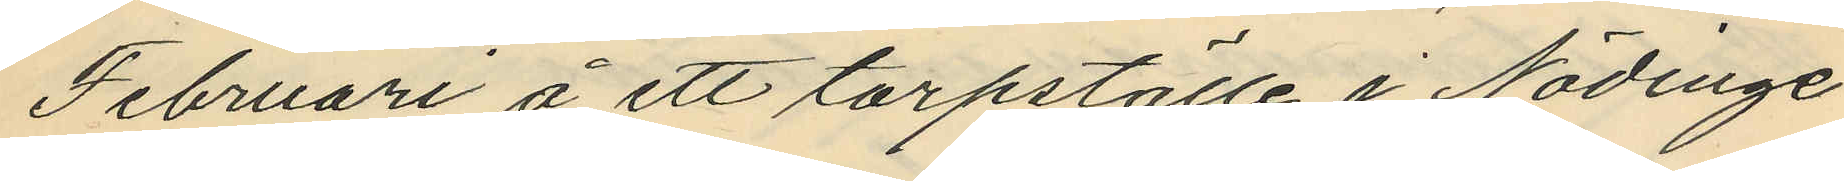Februari å ett torpställe i Nödinge
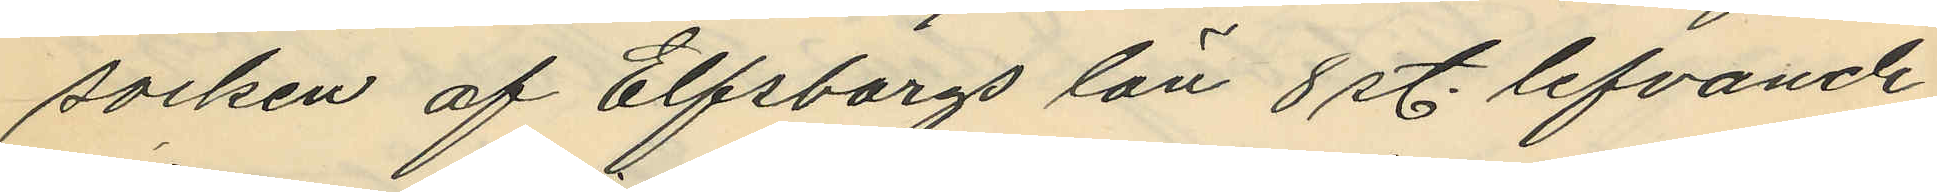socken af Elfsborgs län 8 st. lefvande
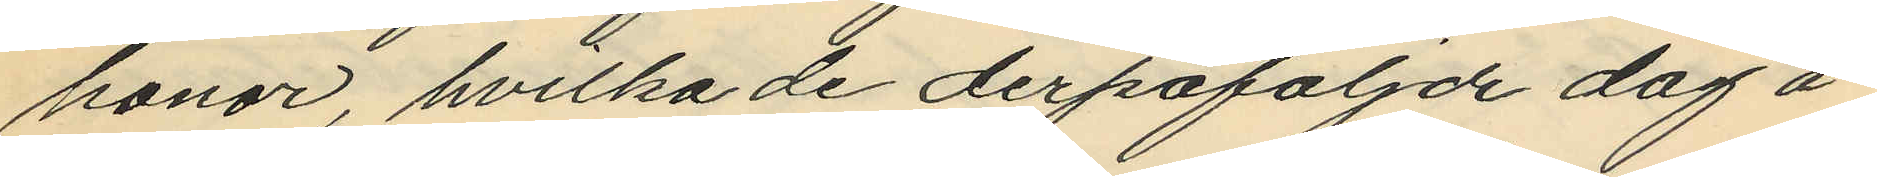honor, hvilka de derpåföljde dag å
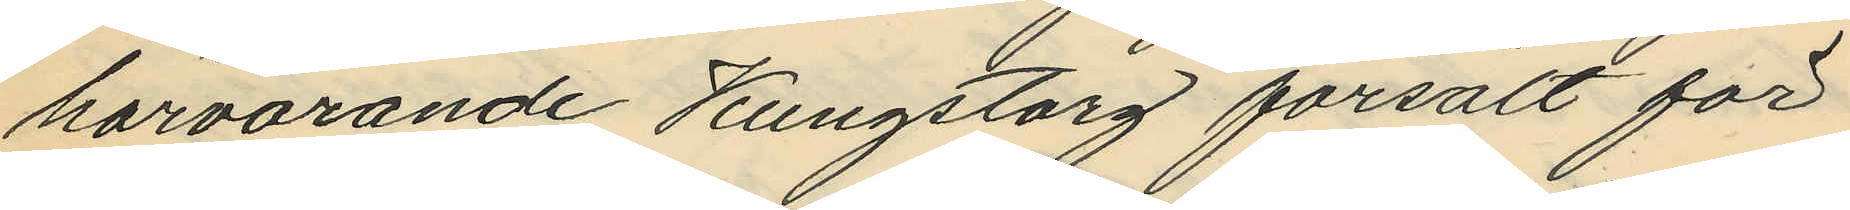härvarande Kungstorg försålt för
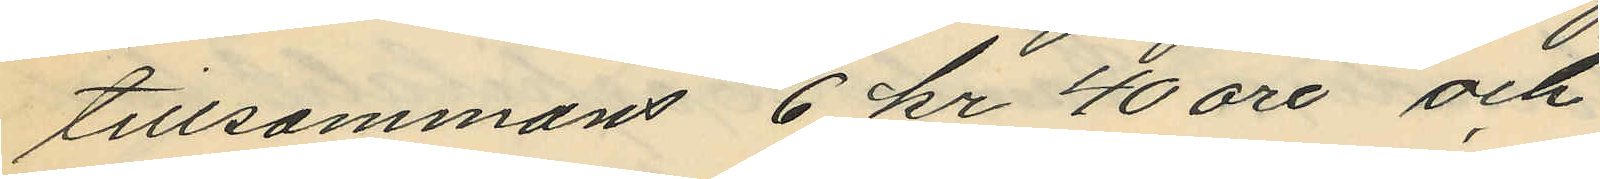tillsammans 6 kr 40 öre och
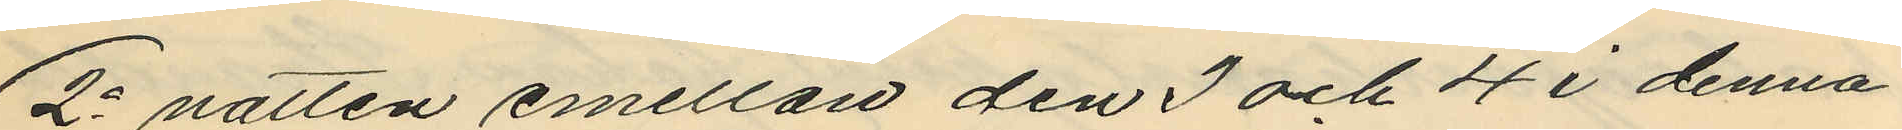2o natten emellan den 3 och 4 i denna
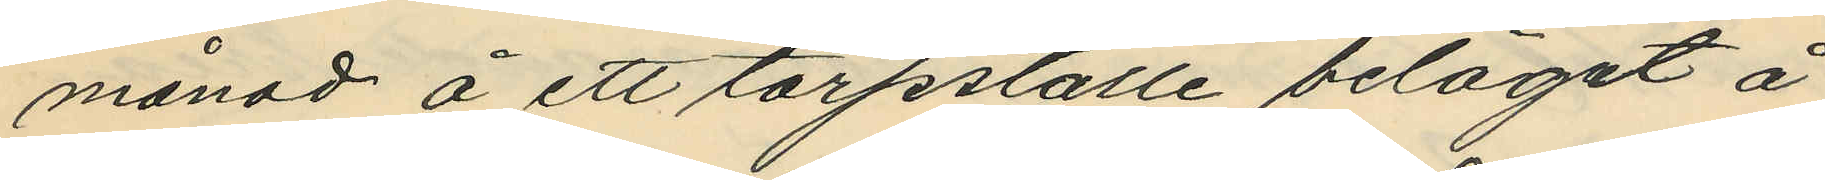månad å ett torpställe beläget å
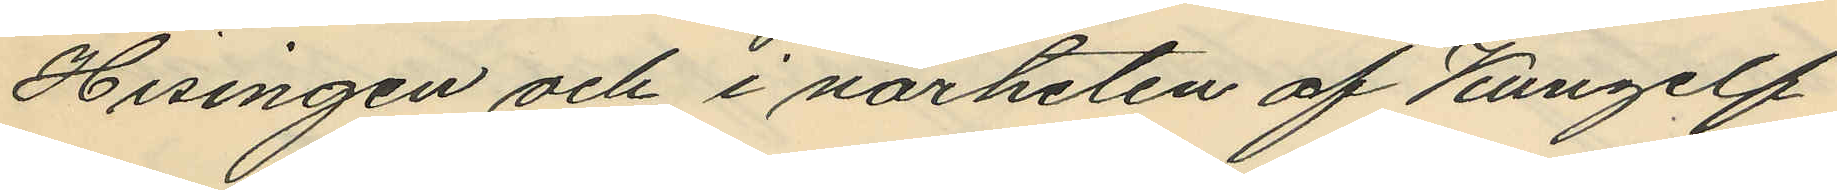Hisingen och i närheten af Kungelf
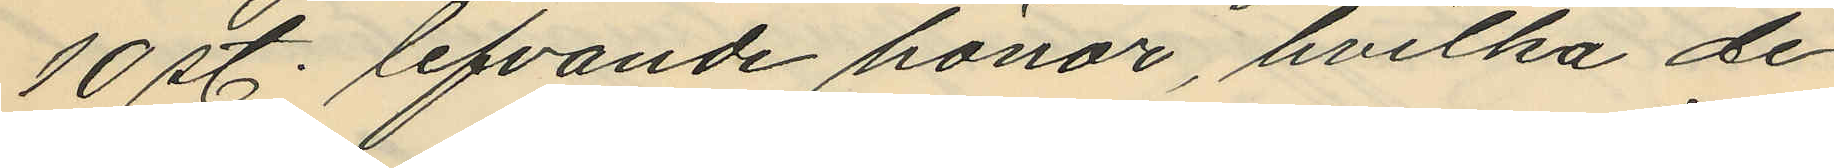10 st. lefvande hönor, hvilka de
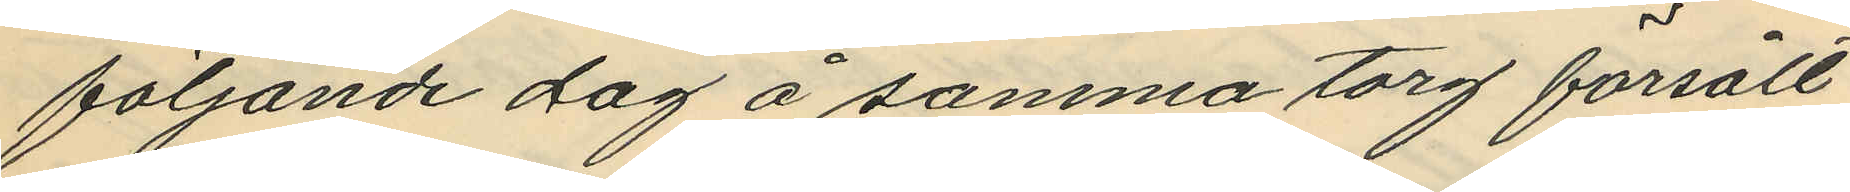följande dag å samma torg försålt
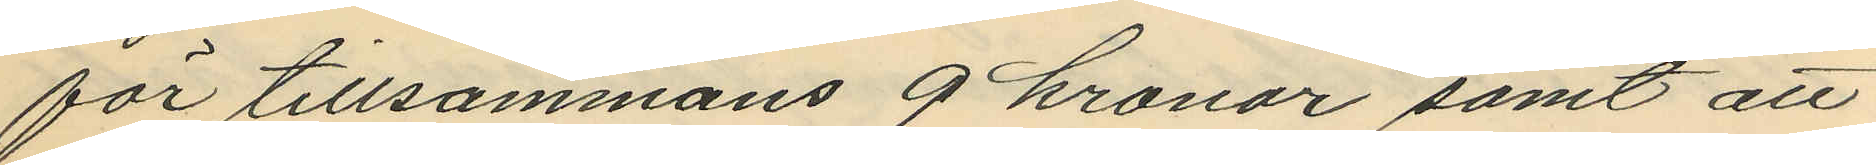för tillsammans 9 kronor samt att
